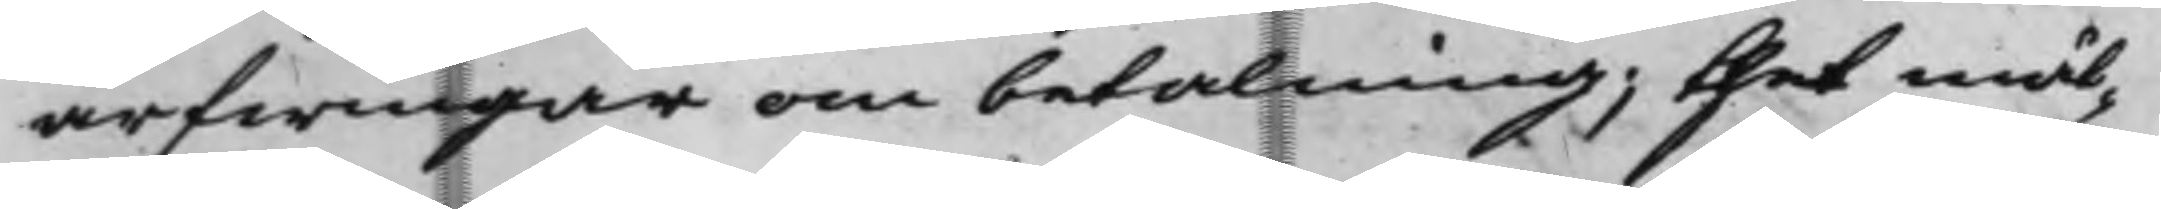arfwingar om betalning; thet måt¬
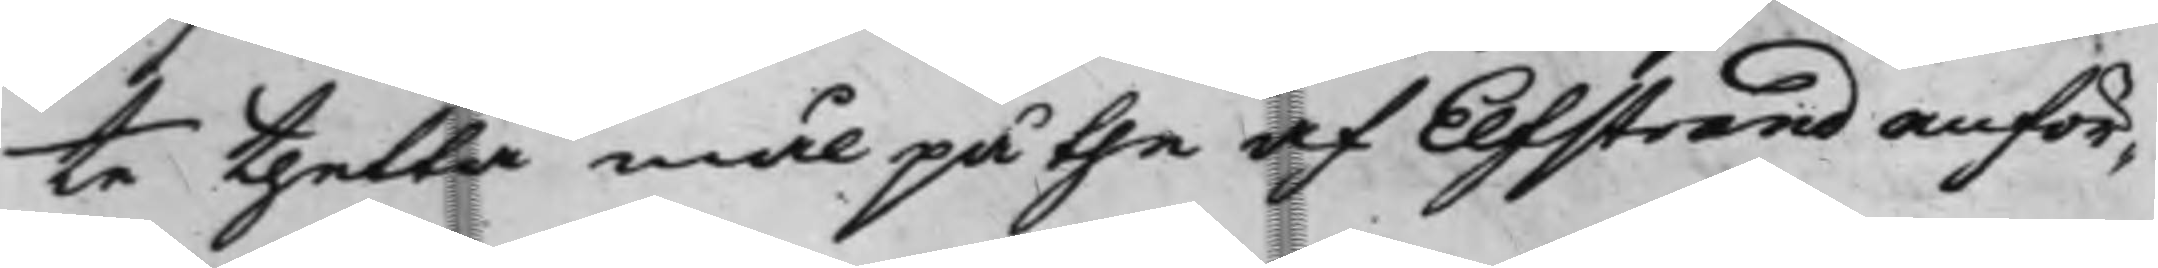te thetta mål på the af Elfstrand anför¬
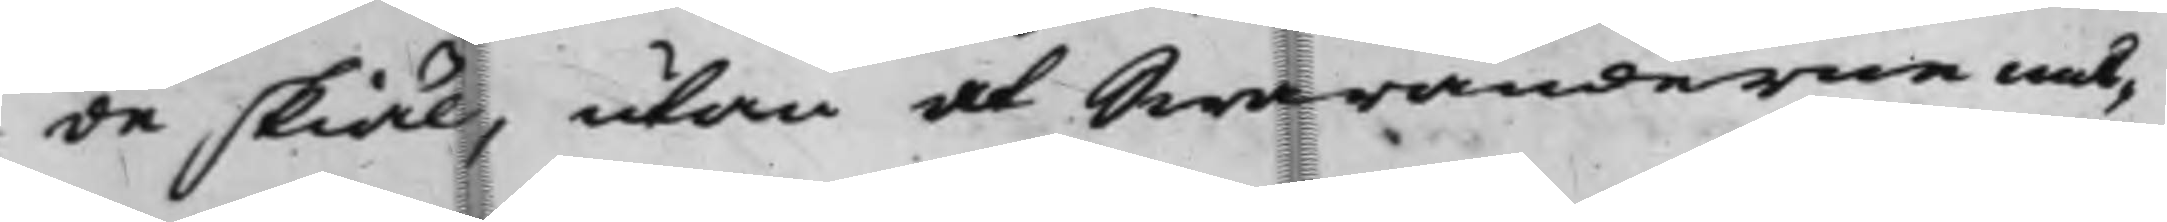de skiäl, utan at Swaranderne må¬
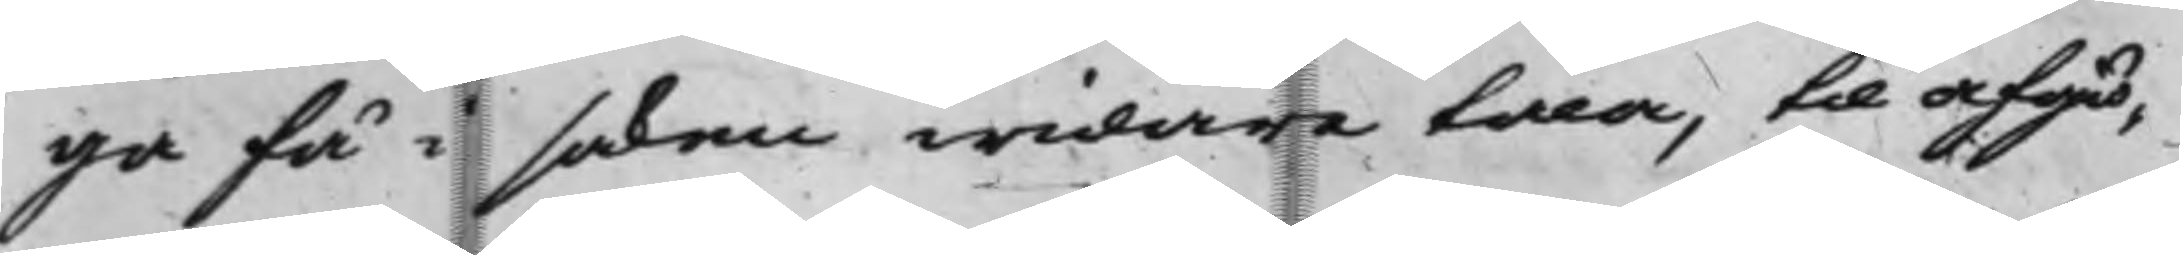ga få i saken widare tala, till afgiö¬
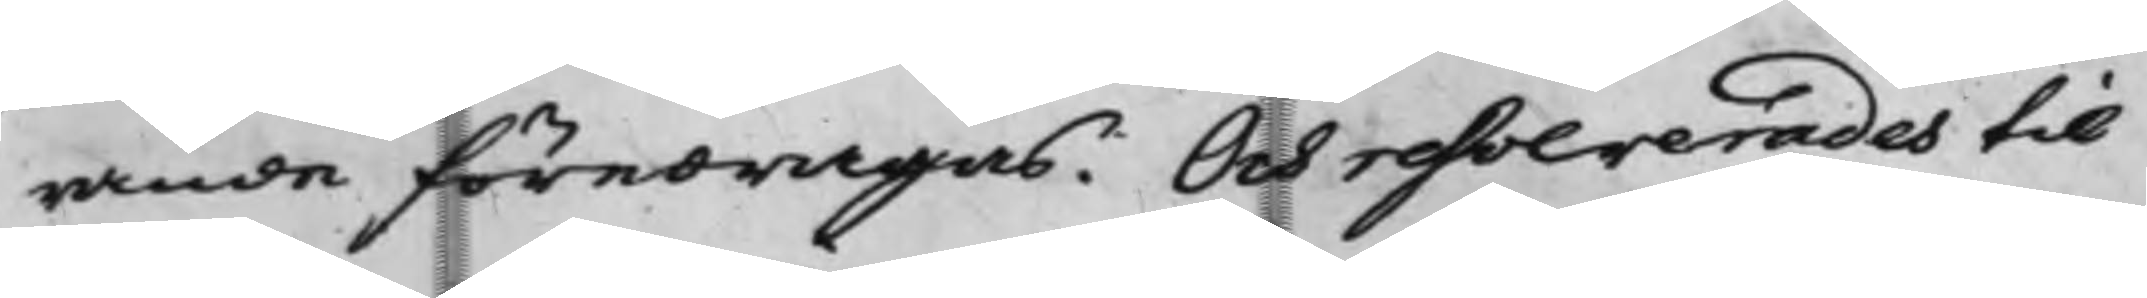rande föredragas. Och resolverades til
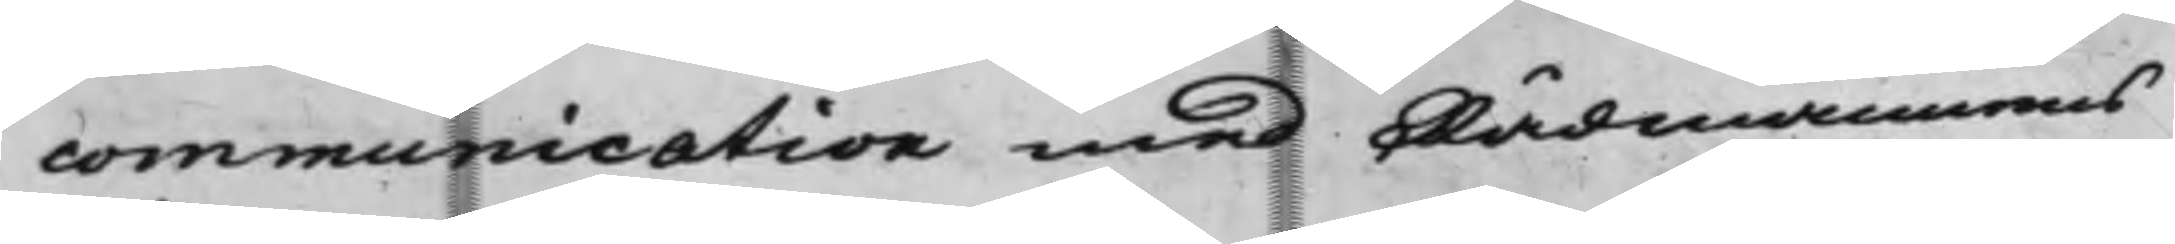communication med Rådmannens
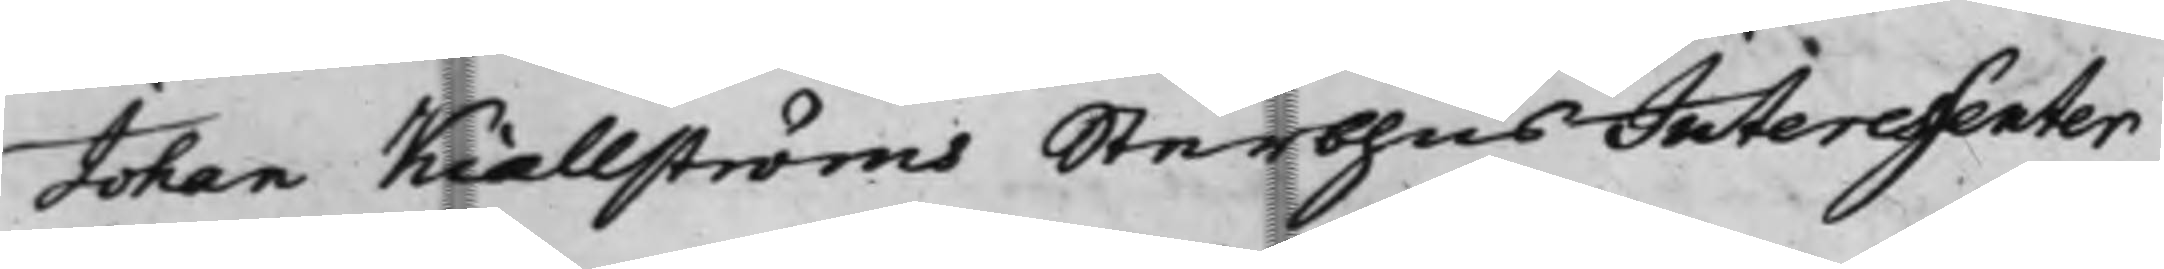Johan Kiællströms SterbhusInteressenter
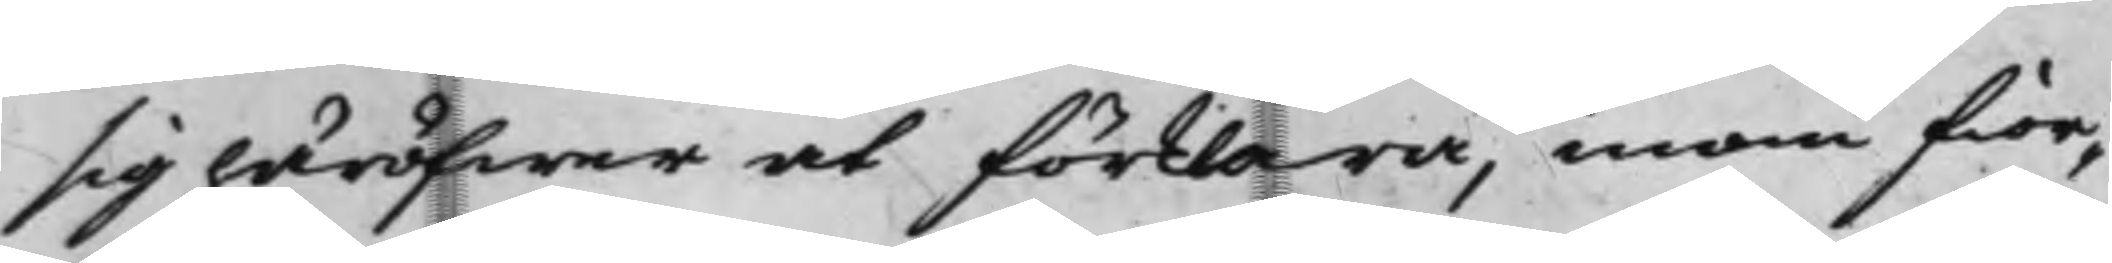sig häröfwer at förklara, inom fior¬
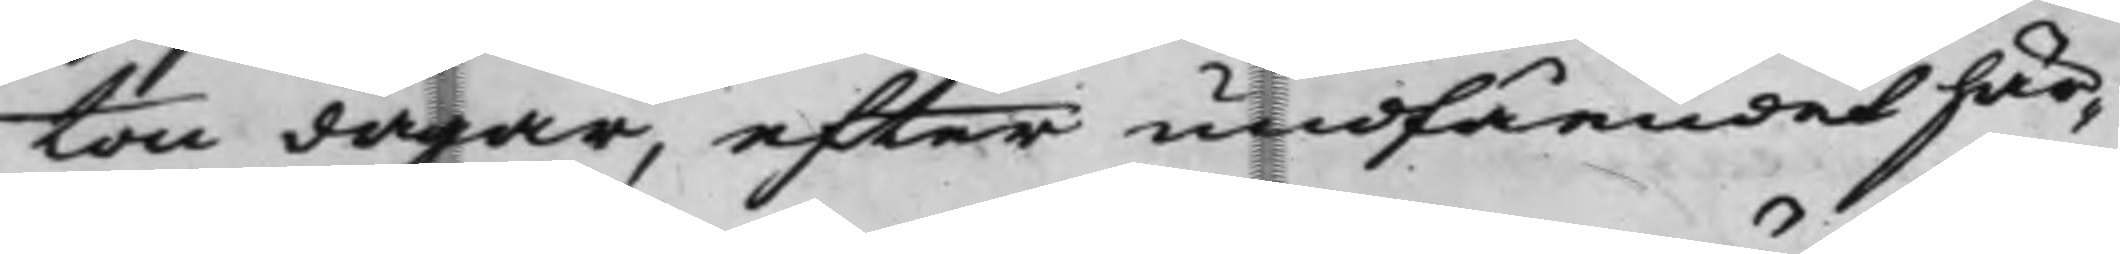ton dagar, efter undfåendet här¬
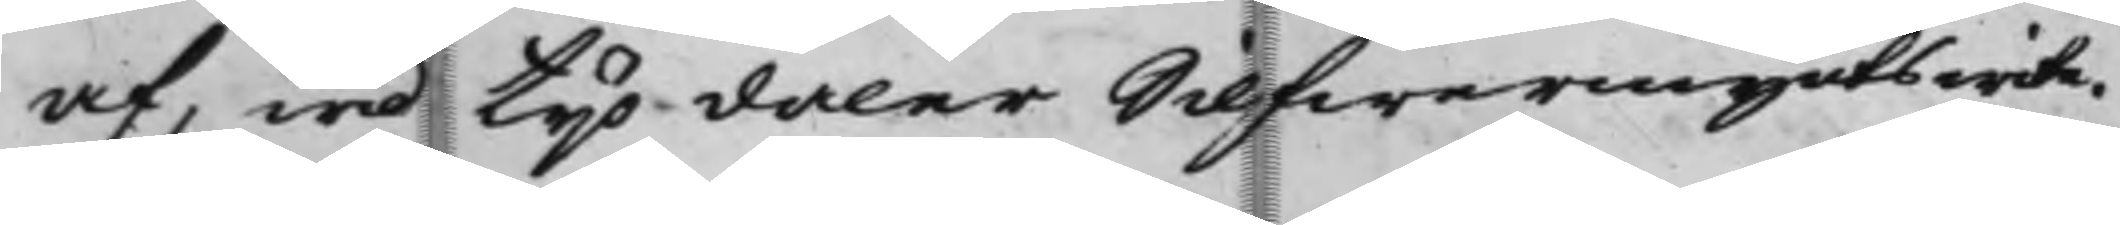af, wid tijo daler Silfwermynts wite.
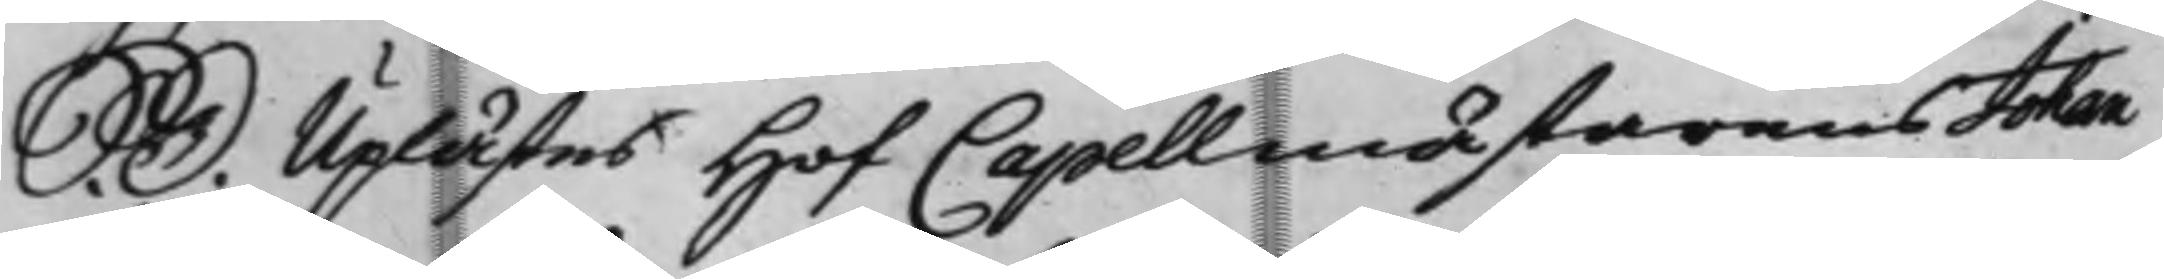S. D. Uplästes HofCappellmästarens Johan
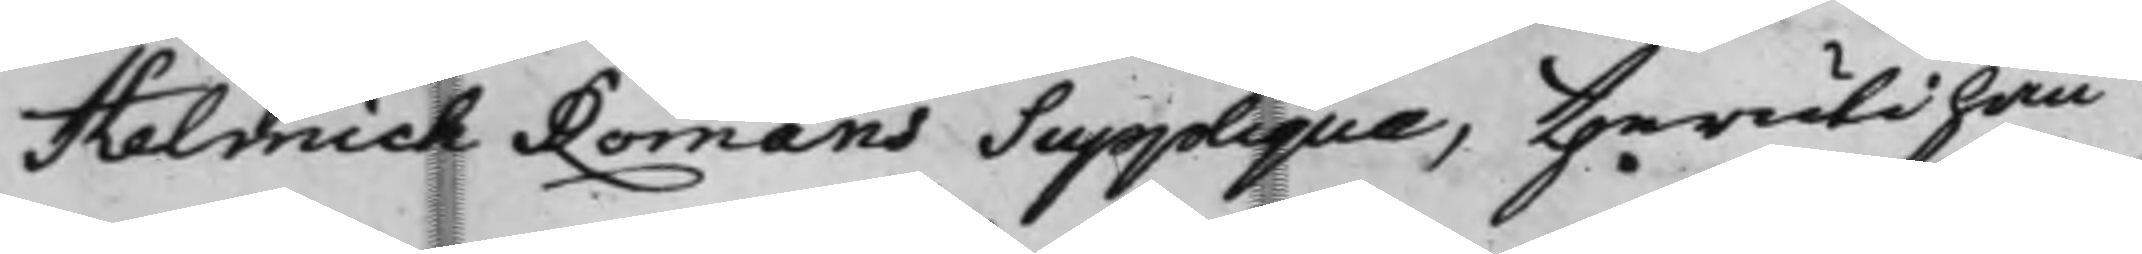Helmich Romans Supplique, theruti han
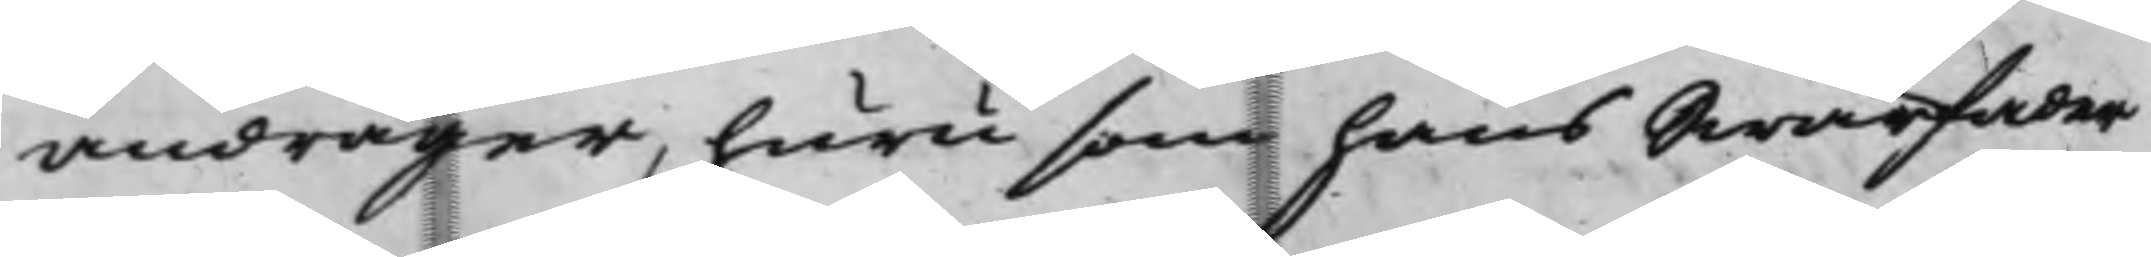andrager, huru som hans Swärfader
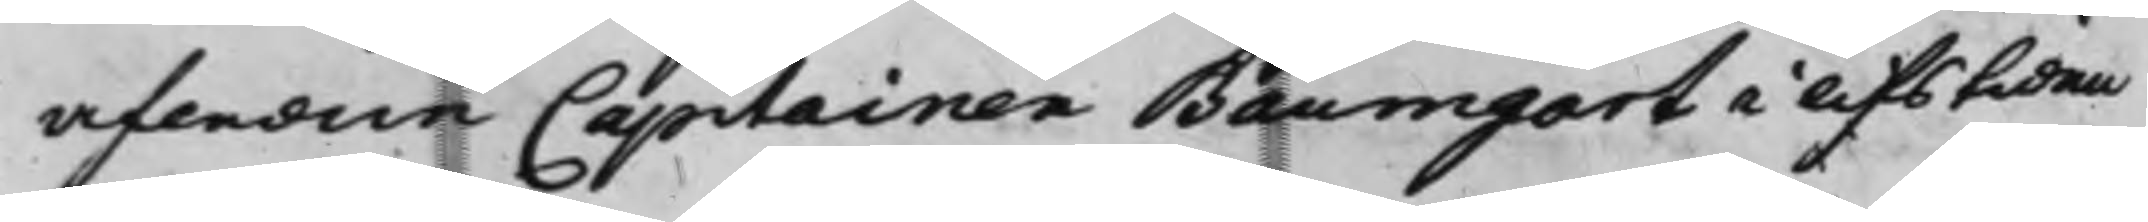afledne Capitainen Baumgart i lifstiden
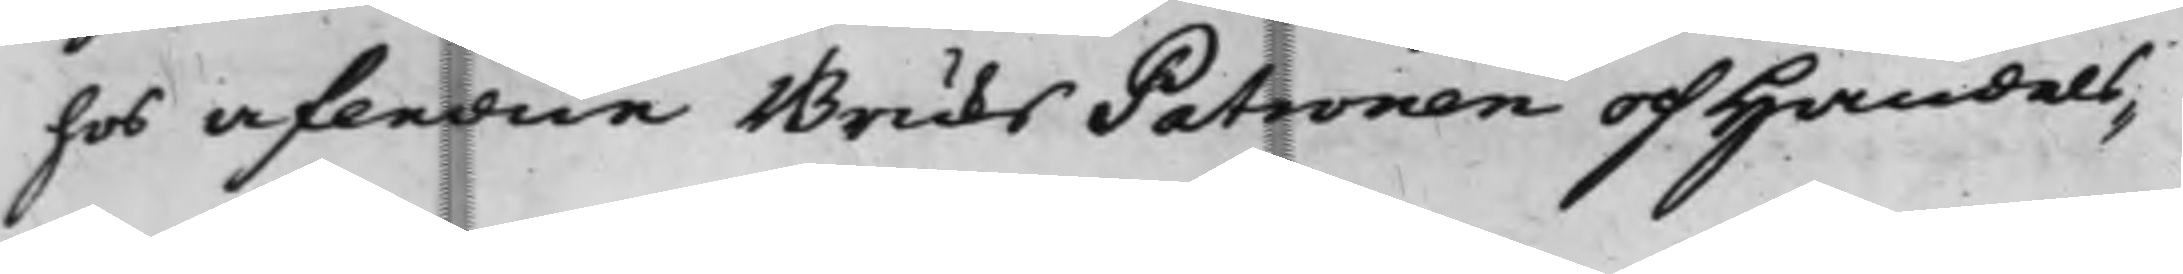hos afledne BruksPatronen och Handels¬
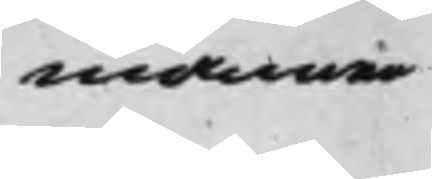mannen
